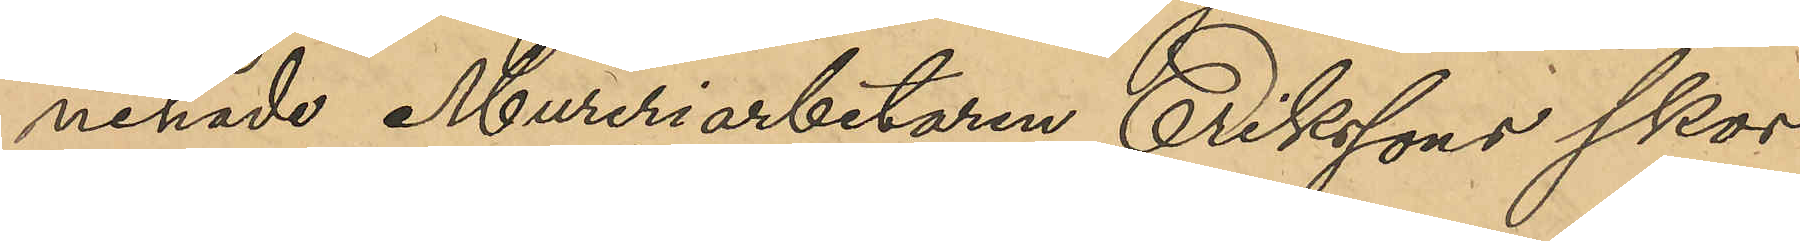nehade Mureriarbetaren Erikssons skor
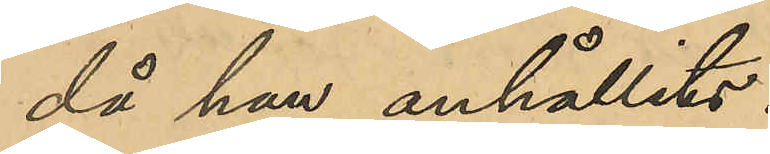då han anhållits.
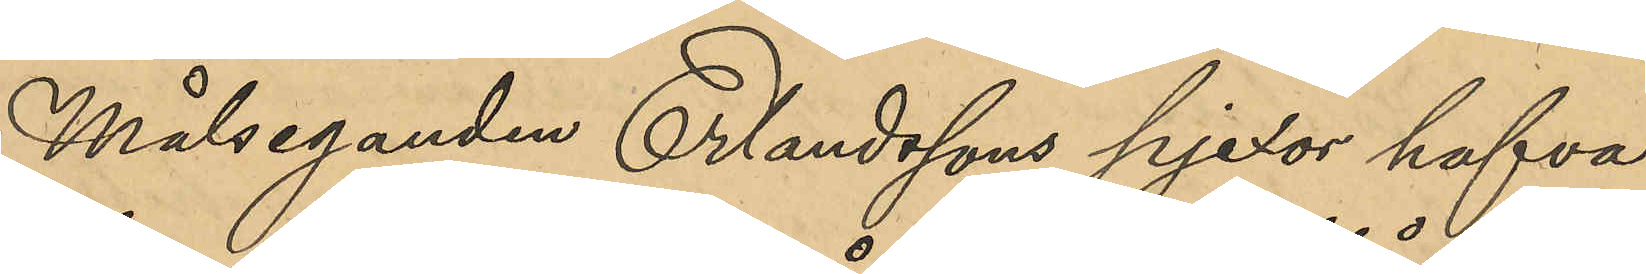Målseganden Erlandssons pjexor hafva
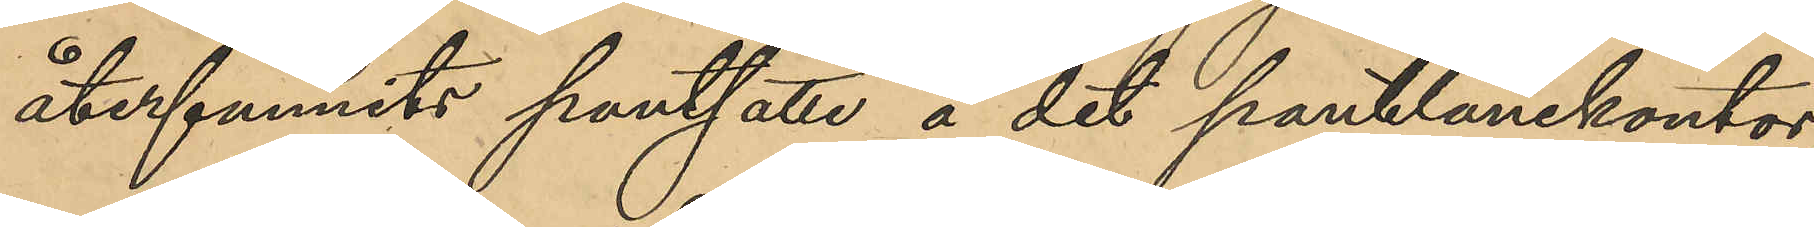återfunnits pantsatta å det pantlånekontor,
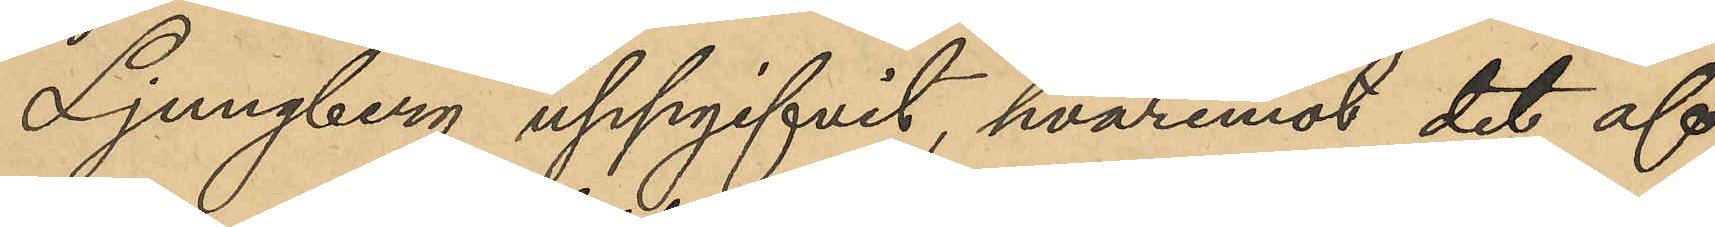Ljungberg uppgifvit, hvaremot det
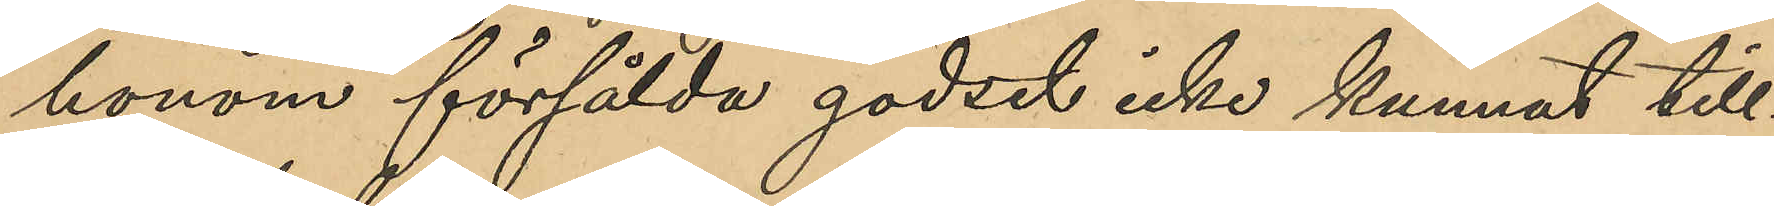honom försålda godset icke kunnat till¬
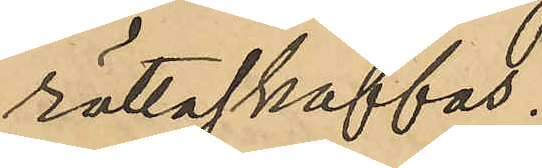rättaskaffas.
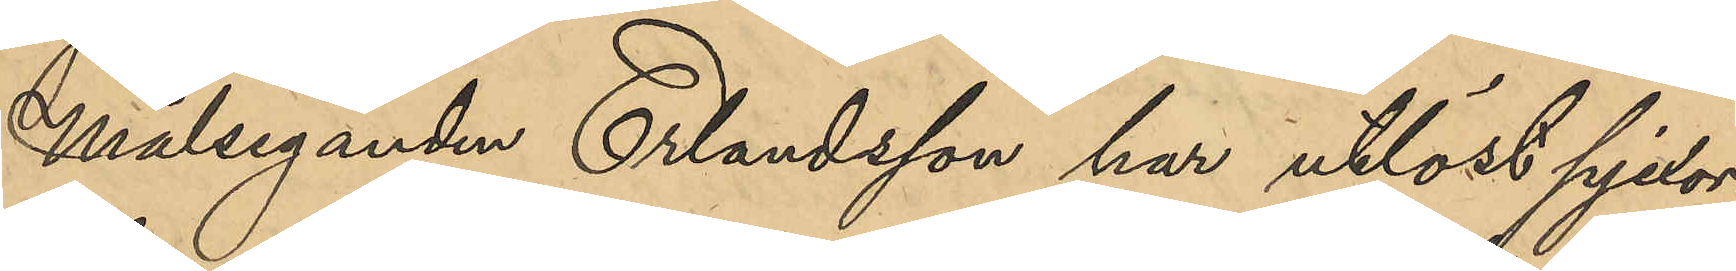Målseganden Erlandsson har utlöst pjexor¬
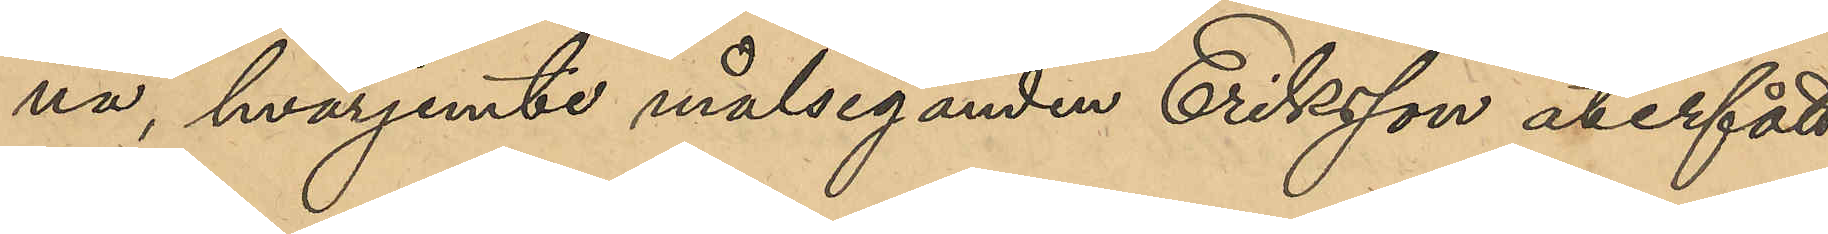na, hvarjemte målseganden Eriksson återfått
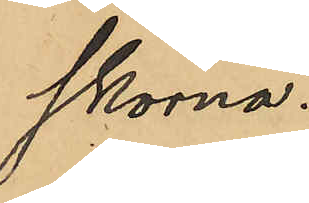skorna.
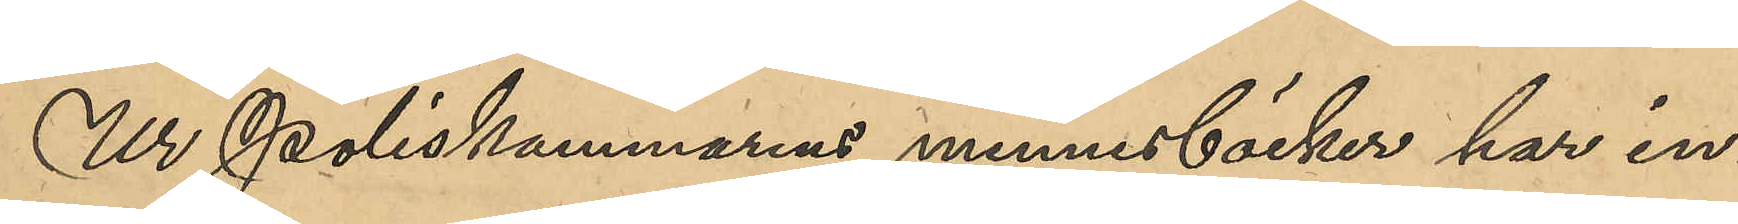Ur Poliskammarens minnesböcker har in¬
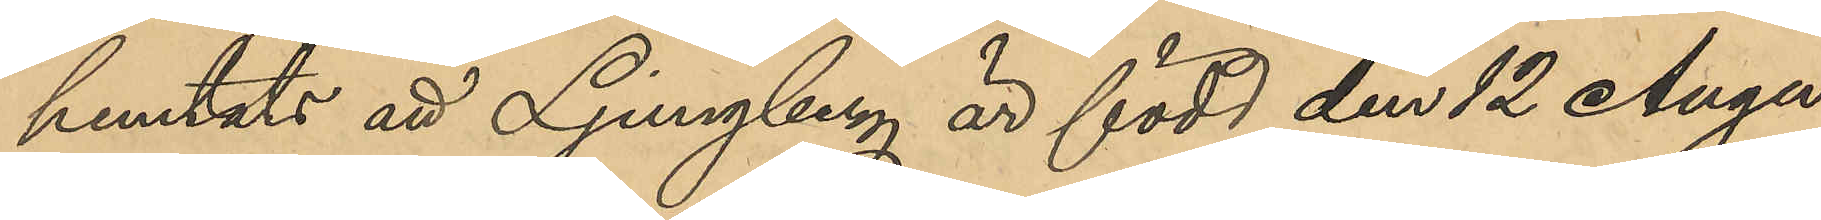hemtats att Ljungberg är född den 12 Augu¬
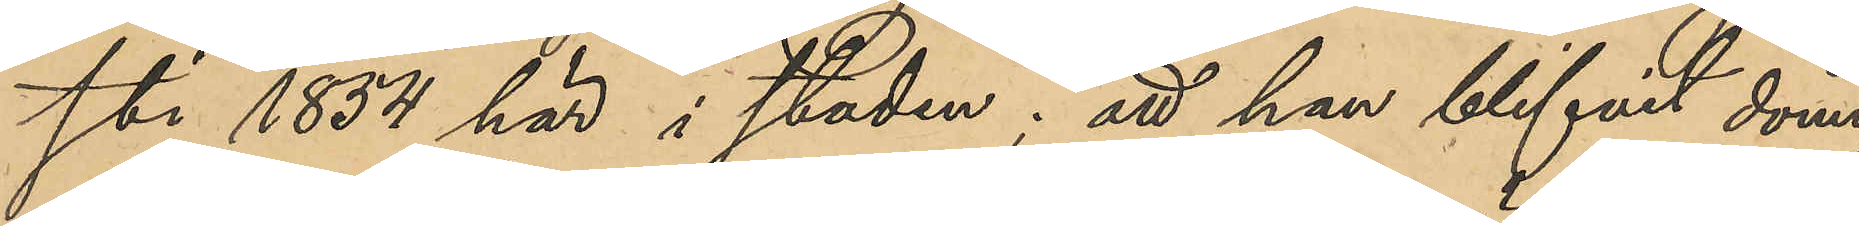sti 1854 här i staden; att han blifvit dömd,
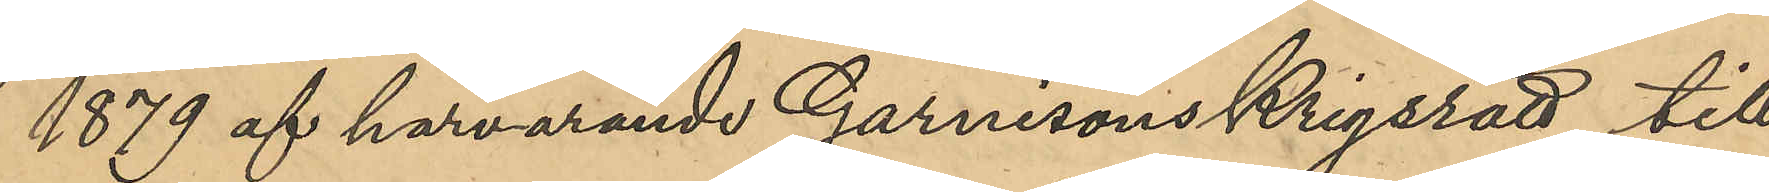1879 af härvarande Garnisonskrigsrätt till¬
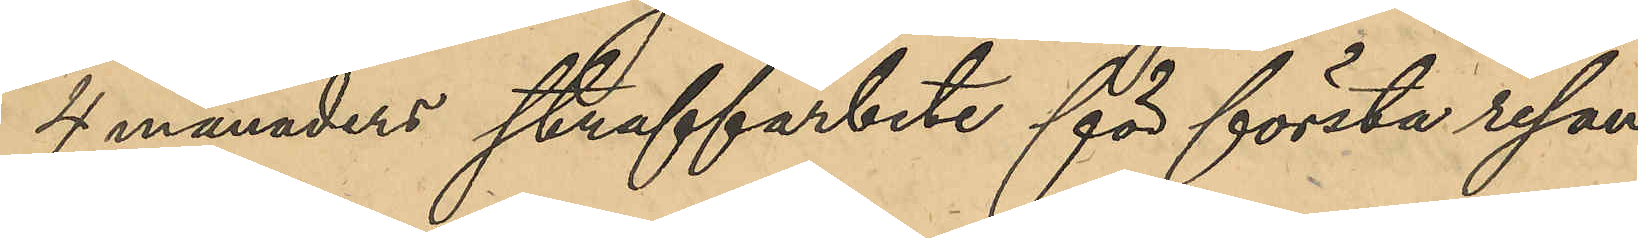4 månaders straffarbete för första resan
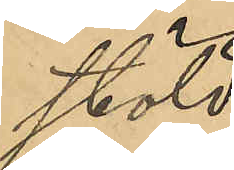stöld,
